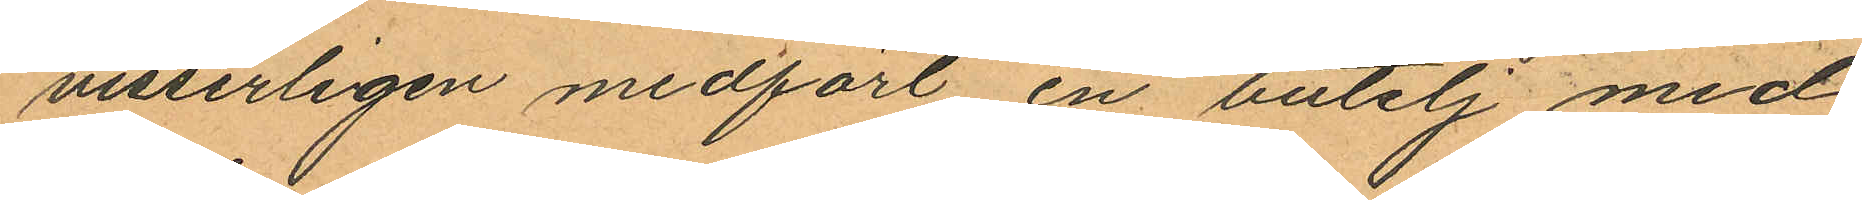visserligen medfört en butelj med
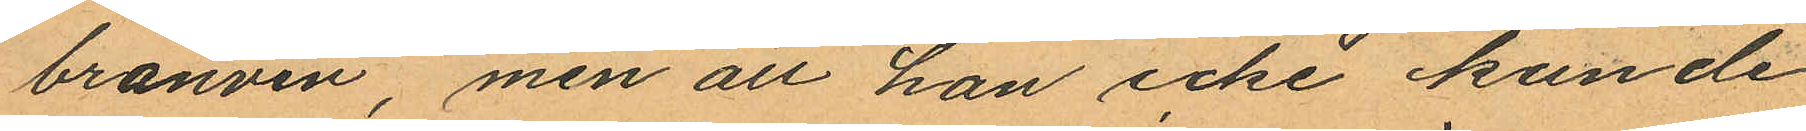bränvin, men att han icke kunde
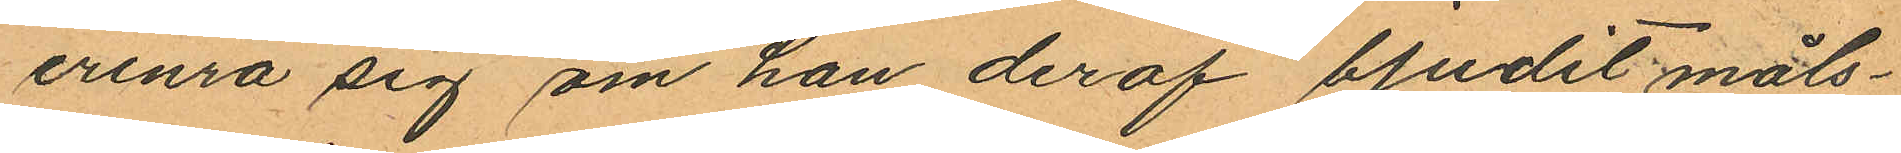erinra sig om han deraf bjudit måls¬
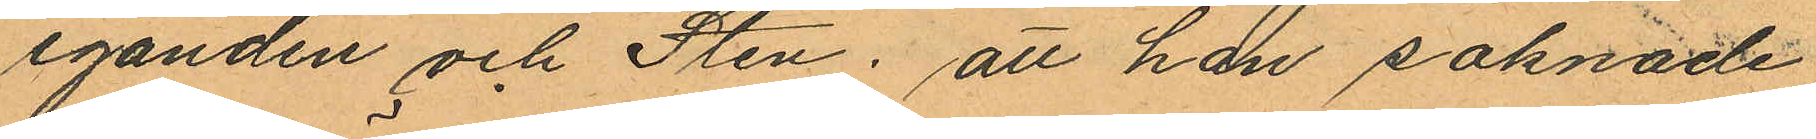eganden och Sten; att han saknade
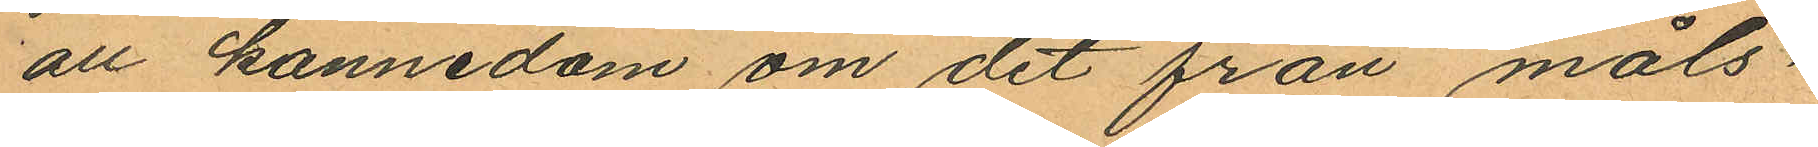all kännedom om det från måls¬
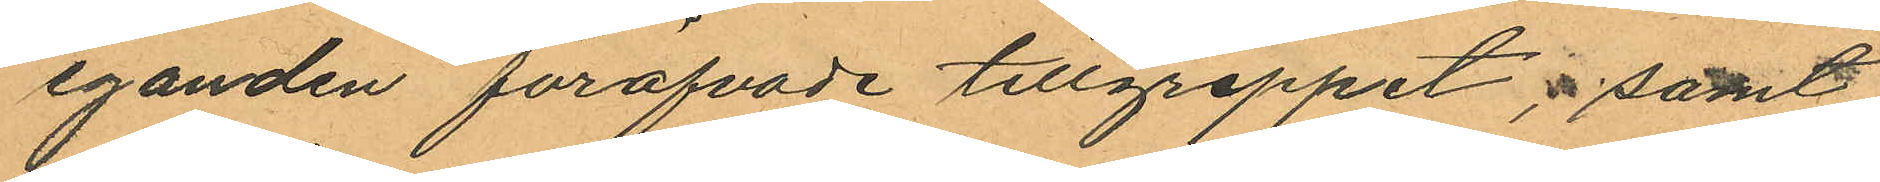eganden föröfvade tillgreppet; samt
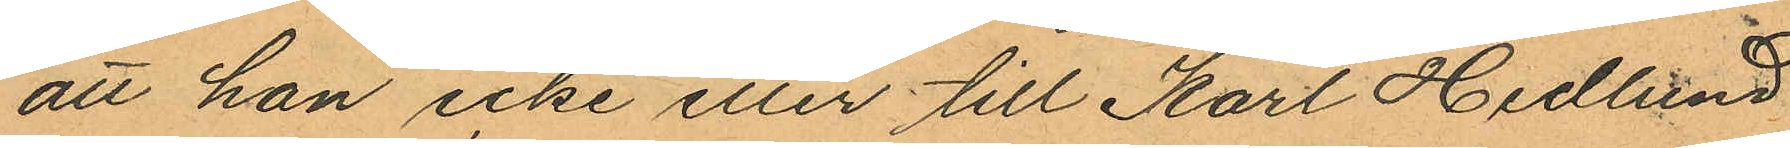att han icke eller till Karl Hedlund
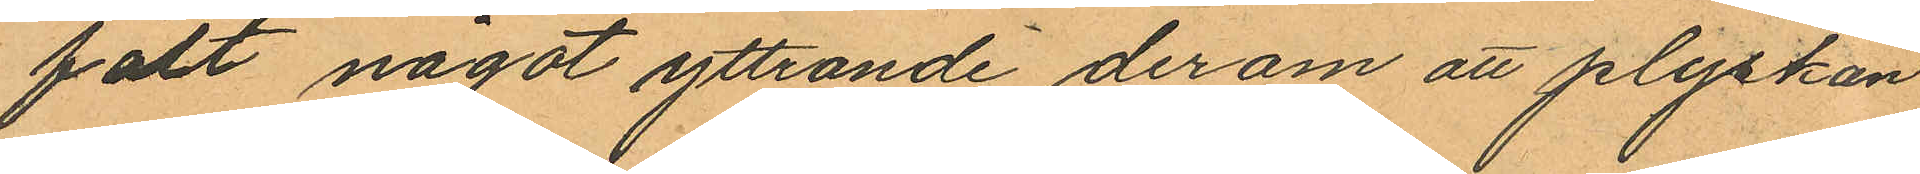fält något yttrande derom att plyskan
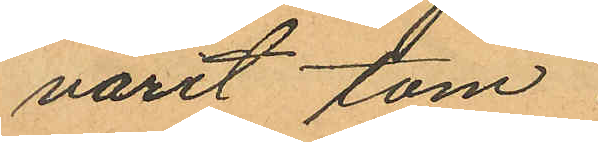varit tom.
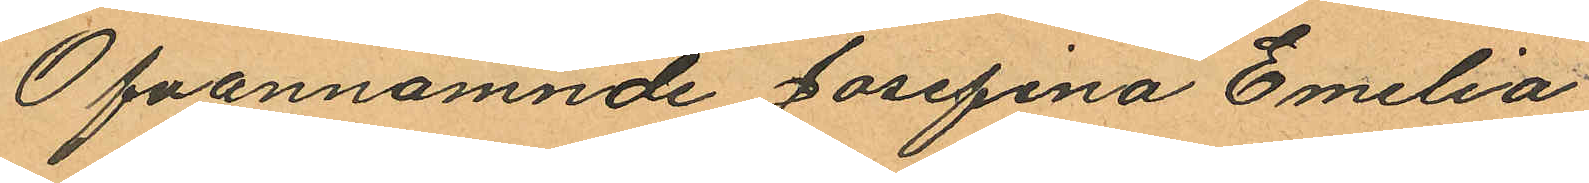Ofvannämnde Josefina Emilia
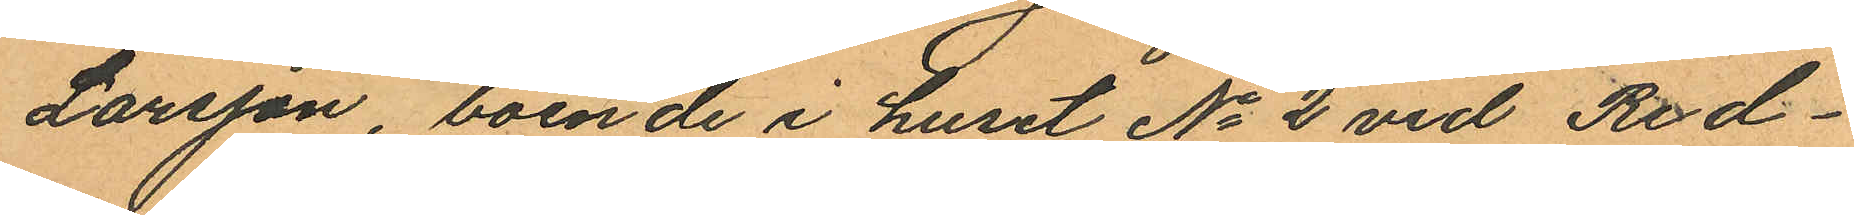Larsson, boende i huset No 2 vid Red¬
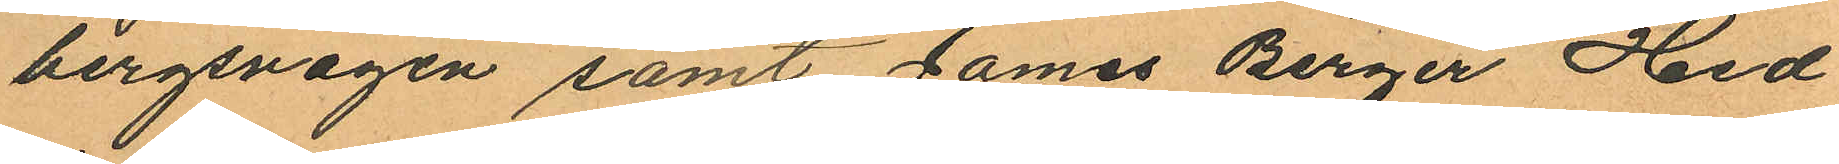bergsvägen samt James Birger Hed¬
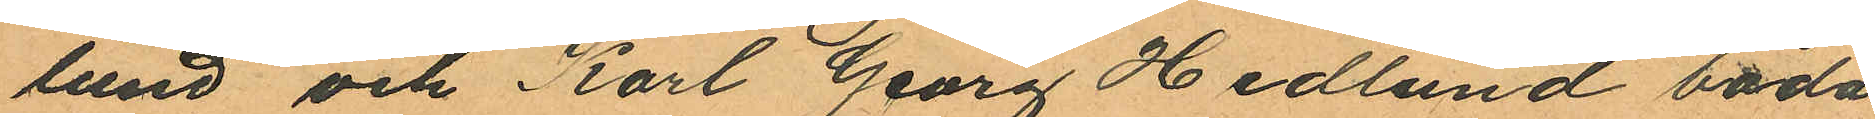lund och Karl Georg Hedlund båda
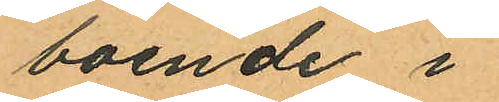boende i
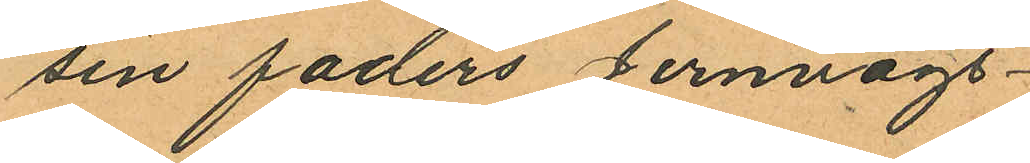sin faders Jernvägs¬
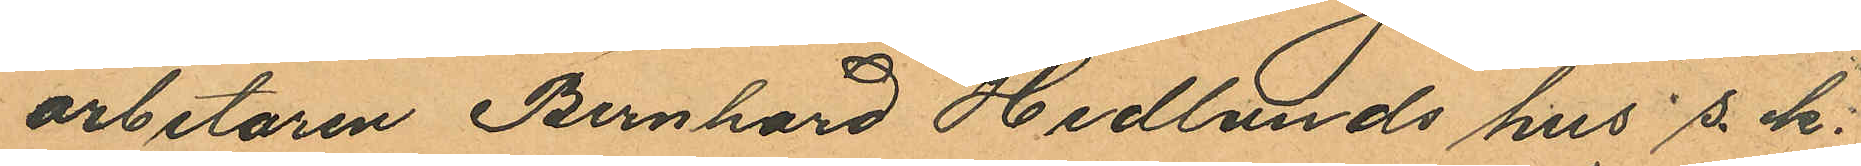arbetaren Bernhard Hedlunds hus s. k.
